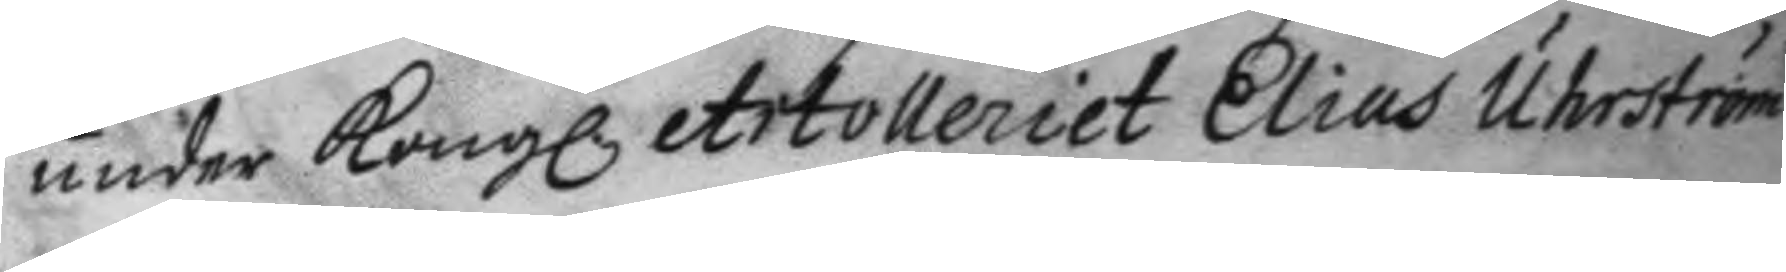under Kong. Artolleriet Elias Uhrström
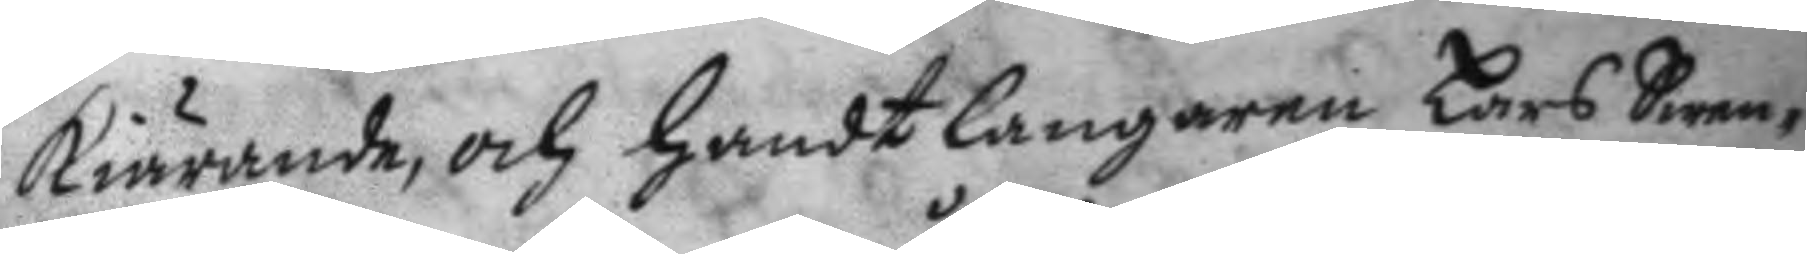kiärande, och handtlangaren Lars Swen¬
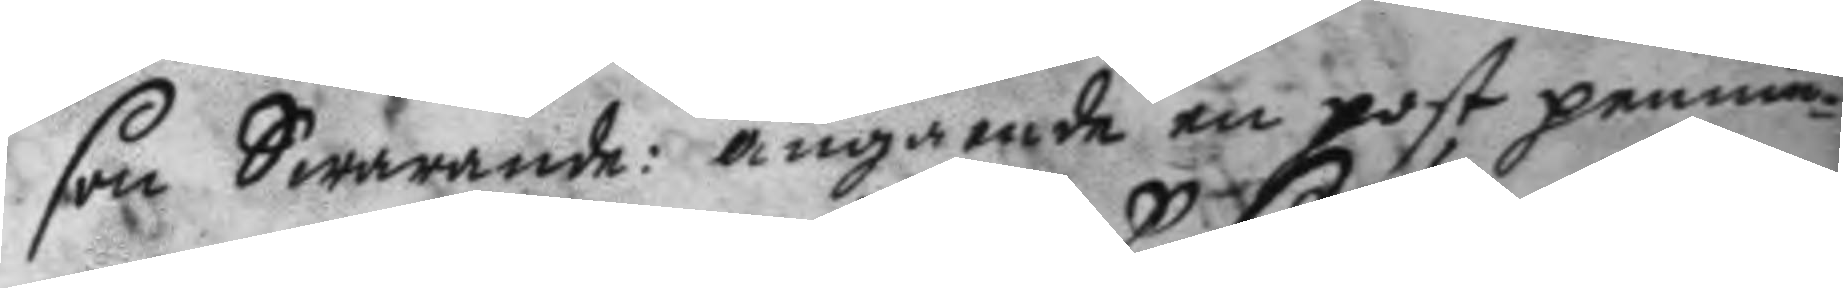son Swarande: angående en post pennin¬
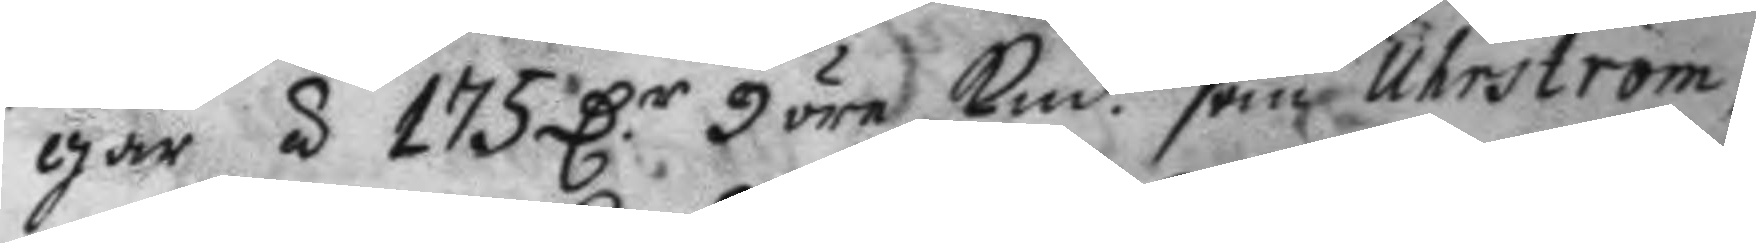gar S 175 D.r 9 öre kmt som Uhrström
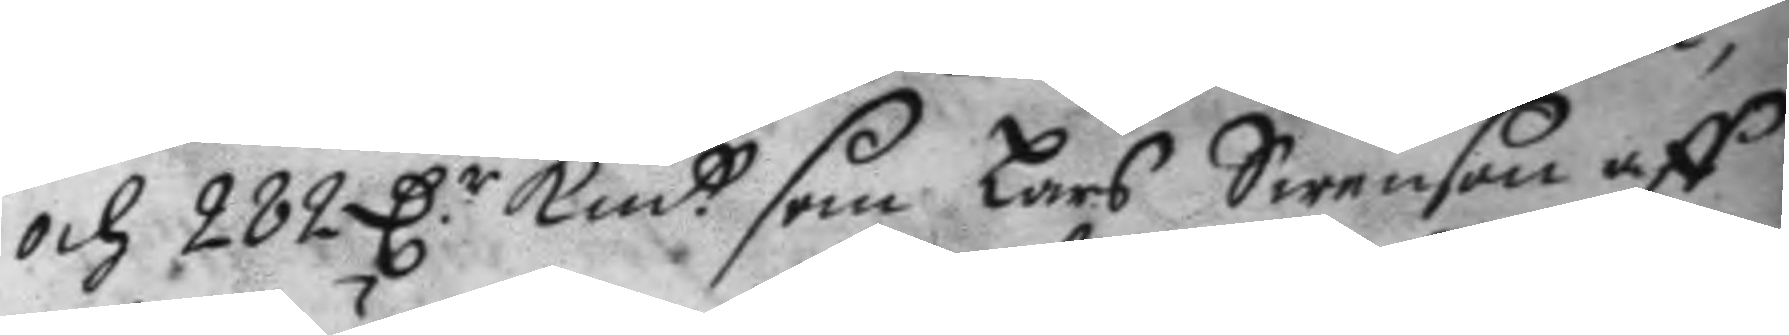och 282 D.r kmtt som Lars Swenson aff
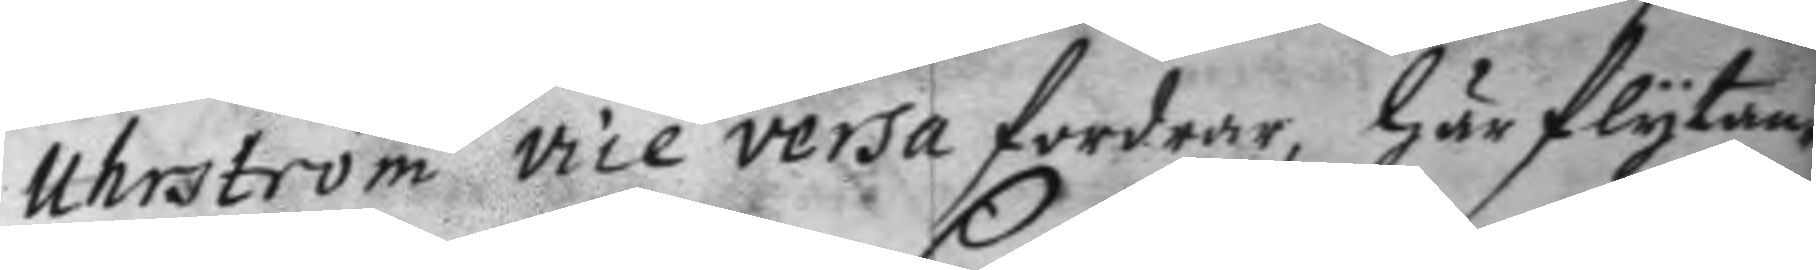Uhrström vice versa fordrar, här flytan¬
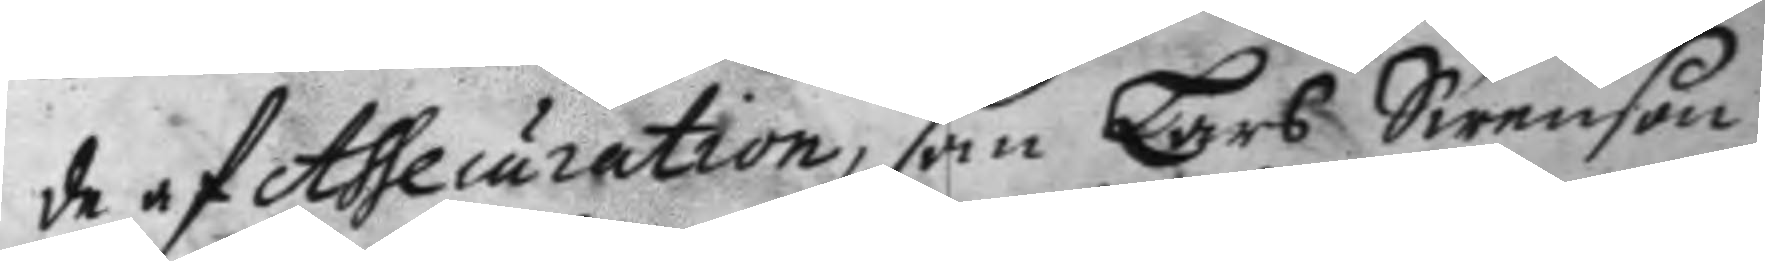de af Assecuration, som Lars Swenson
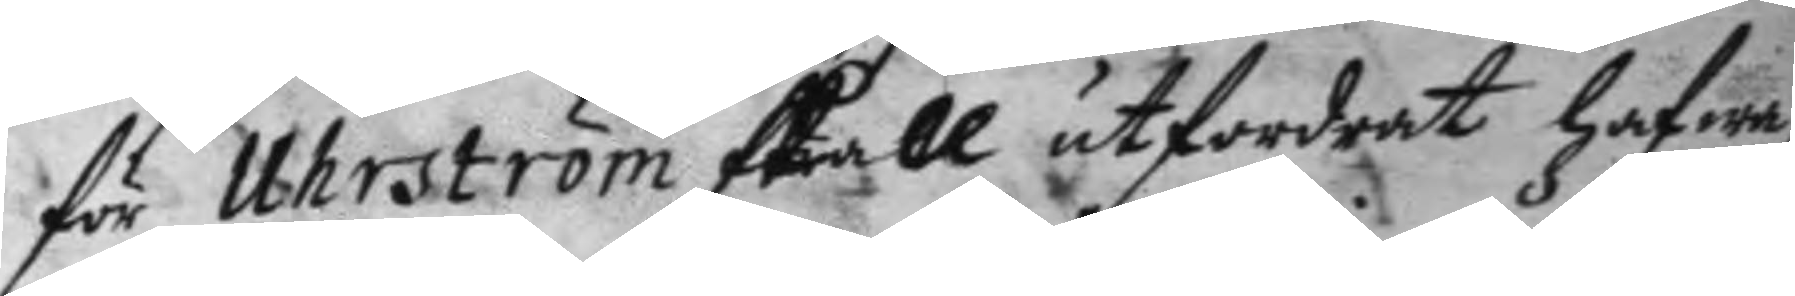för Uhrström skall utfordrat hafwa,
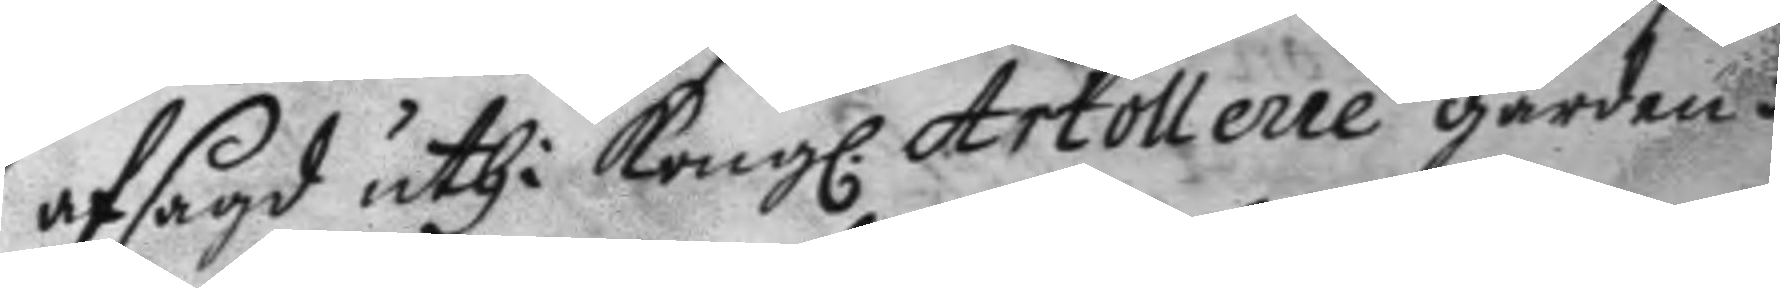afsagd uthi Kongl. Artollerie gården i
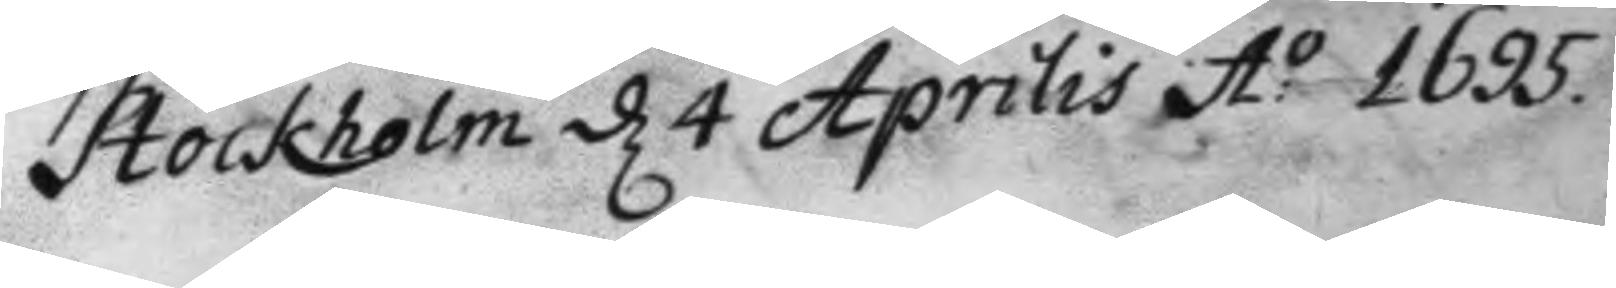Stockholm d 4 Aprilis A:o 1695.
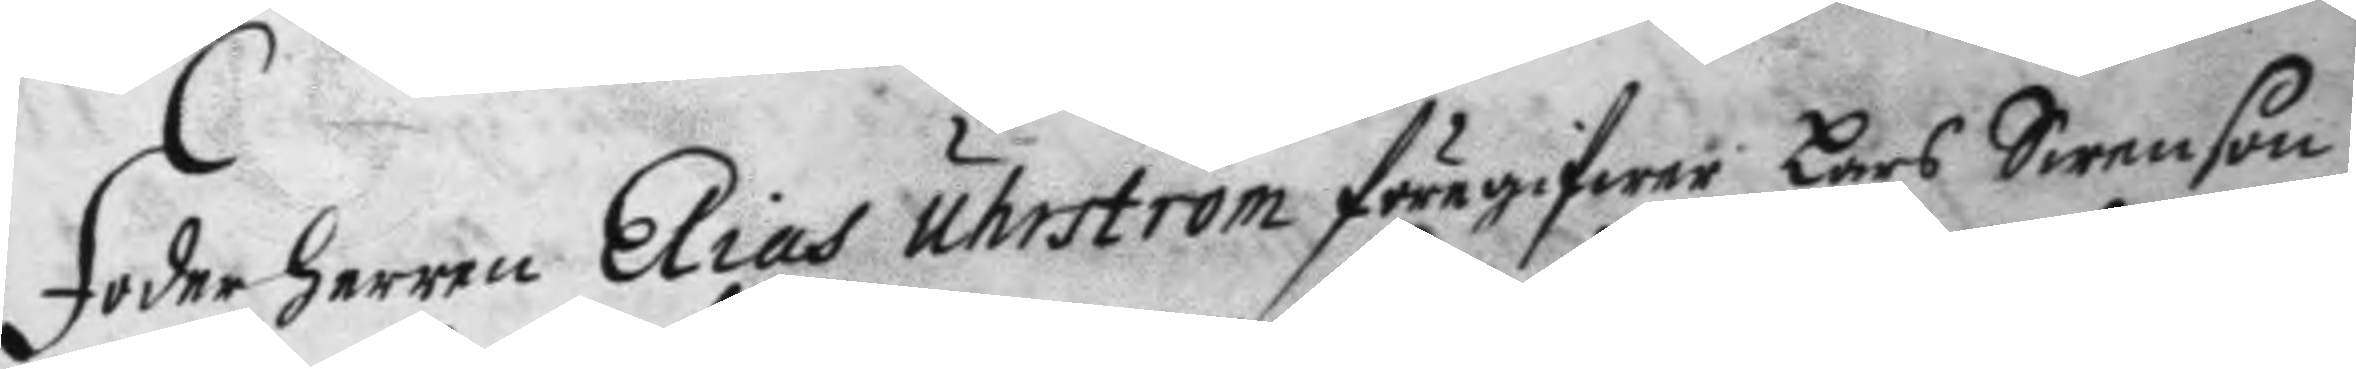Foderherren Elias Uhrström föregifwer Lars Swenson
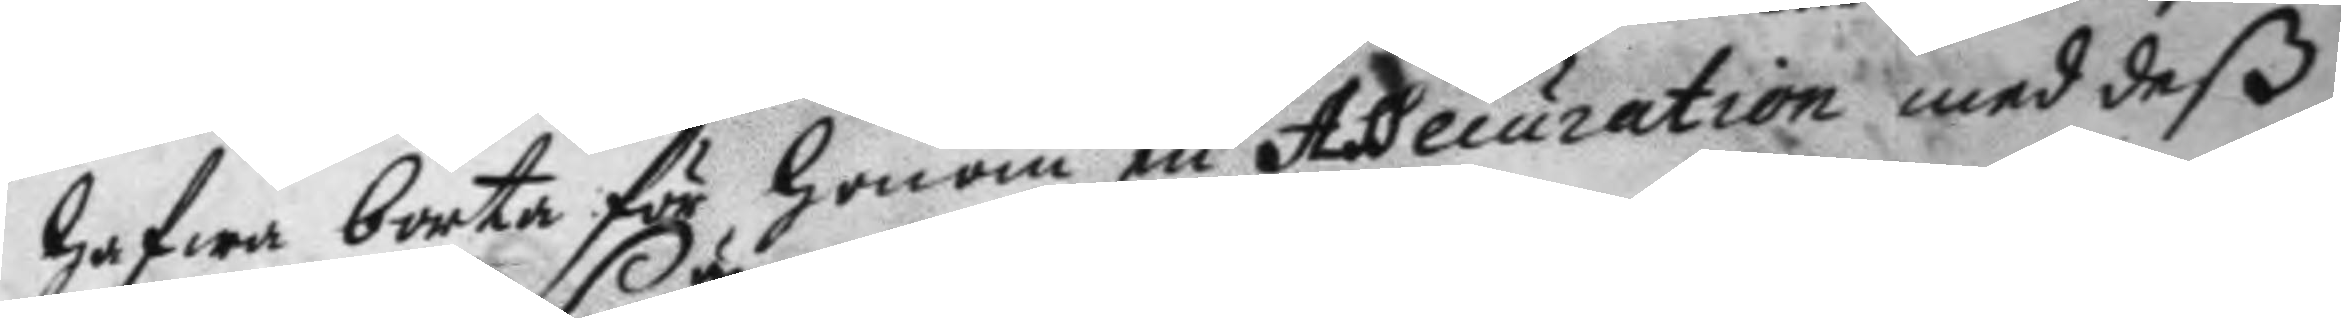hafwa borta för honom en Assecuration med deß
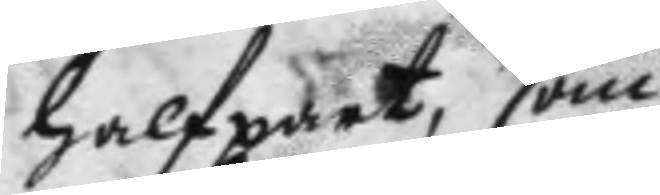halfpart, som
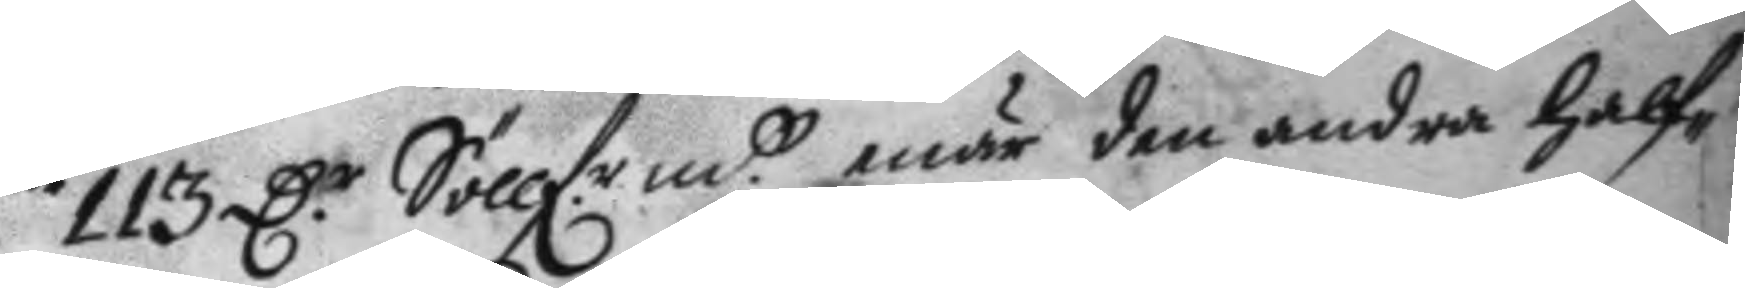113 D.r Söllf.r mtt enär den andra half¬
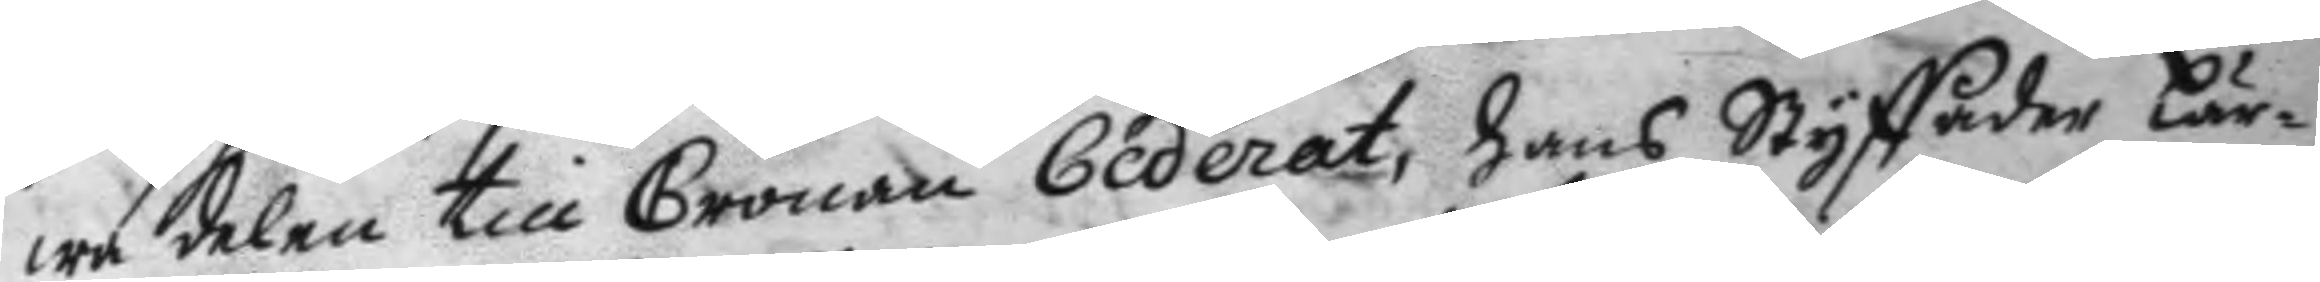wa delen till Cronan Cederat, hans Styffader lär¬
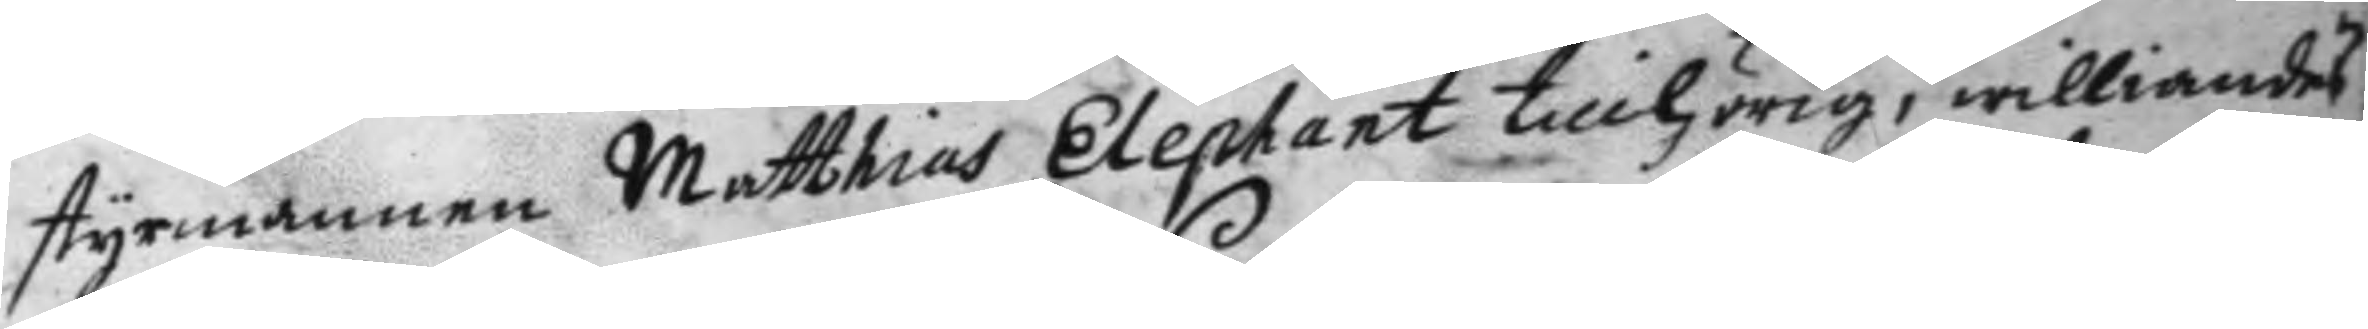styrmannen Matthias Elephant tillhörig, williandes
